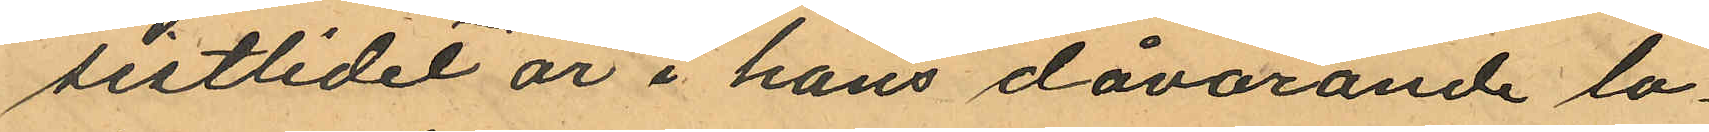sistlidet år i hans dåvarande lo¬
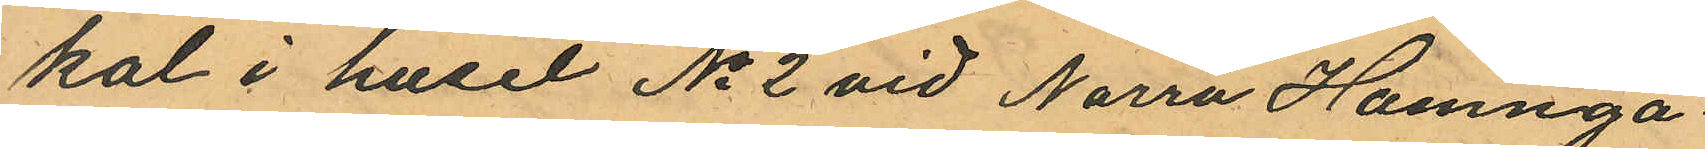kal i huset No 2 vid Norra Hamnga¬
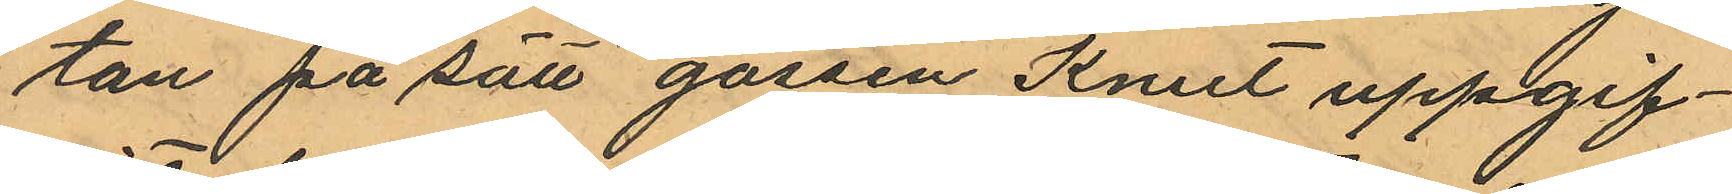tan på sätt gossen Knut uppgif¬
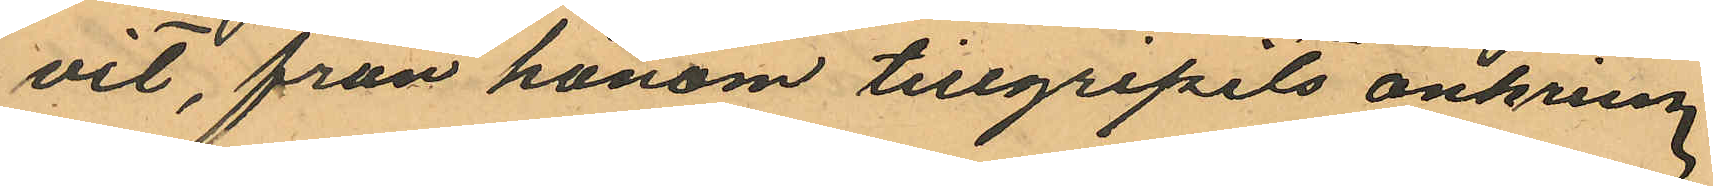vit, från honom tillgripits omkring
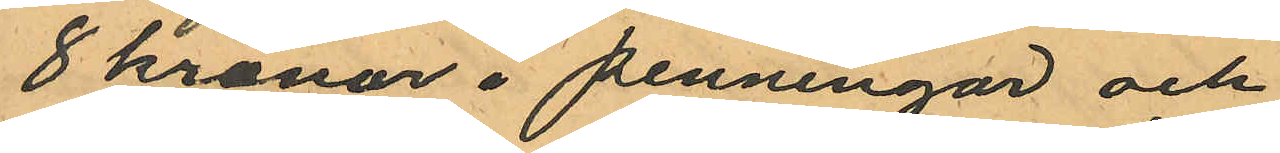8 kronor i penningar och
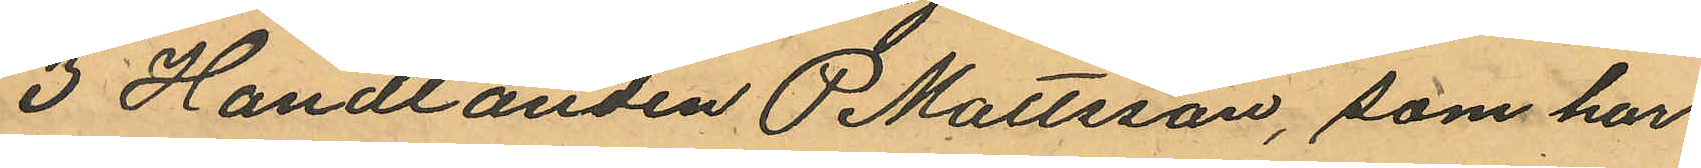3 Handlanden P Mattsson, som har
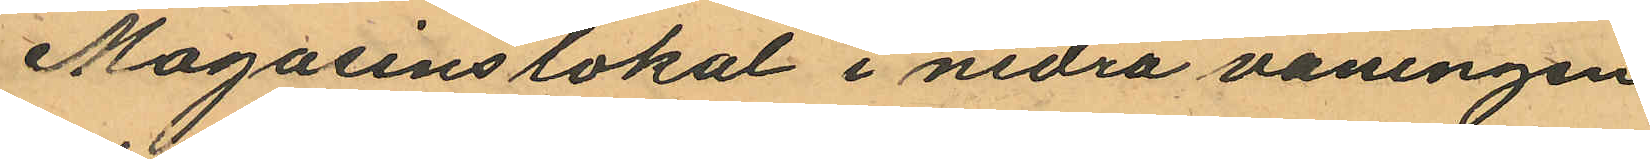Magasinslokal i nedra våningen
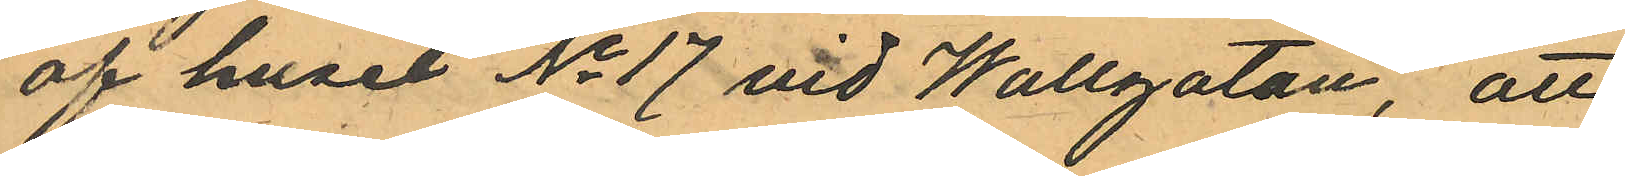af huset No 17 vid Wallgatan, att
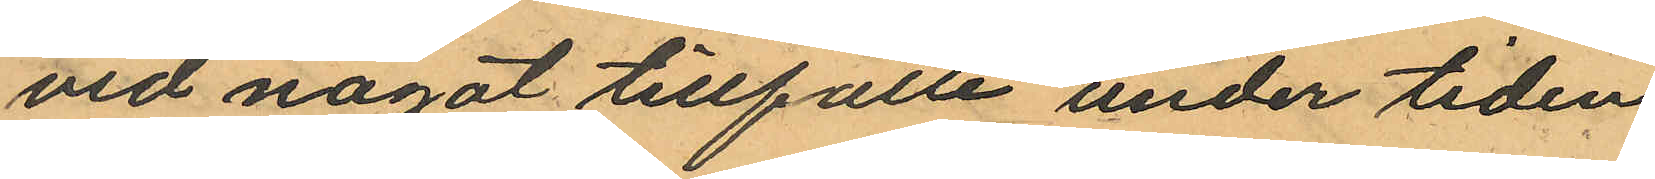vid något tillfälle under tiden
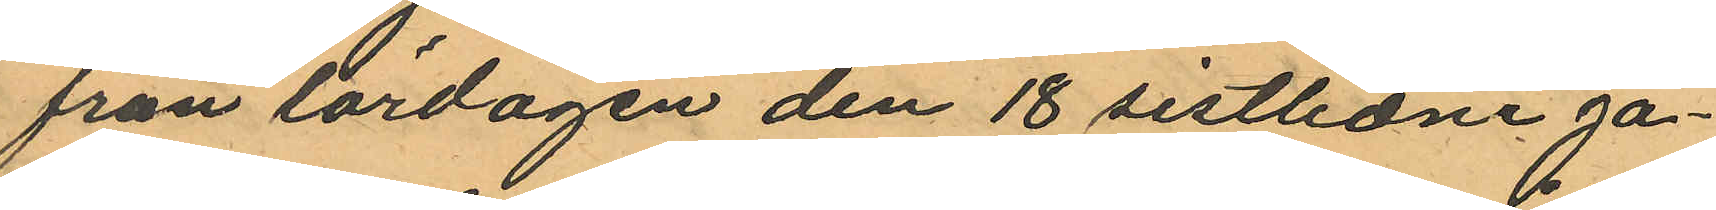från lördagen den 18 sistlidne Ja¬
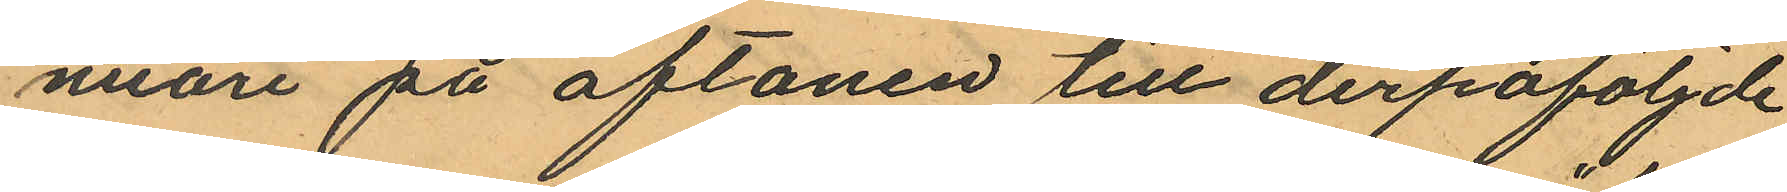nuari på aftonen till derpåföljde
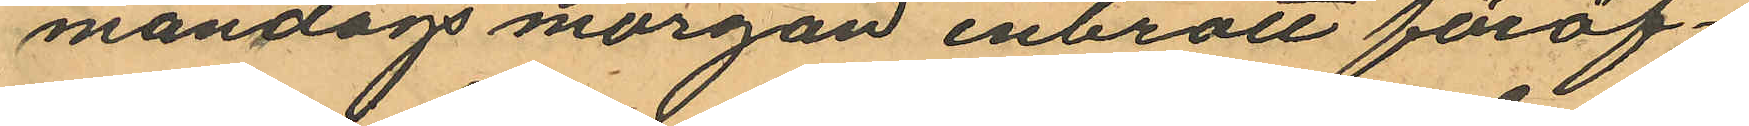måndags morgon inbrott föröf¬
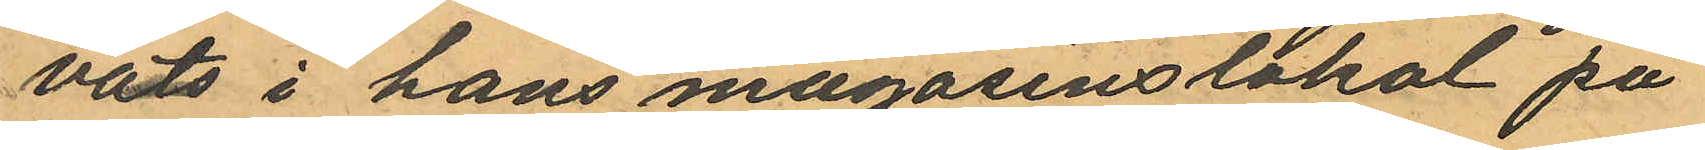vats i hans magasinslokal på
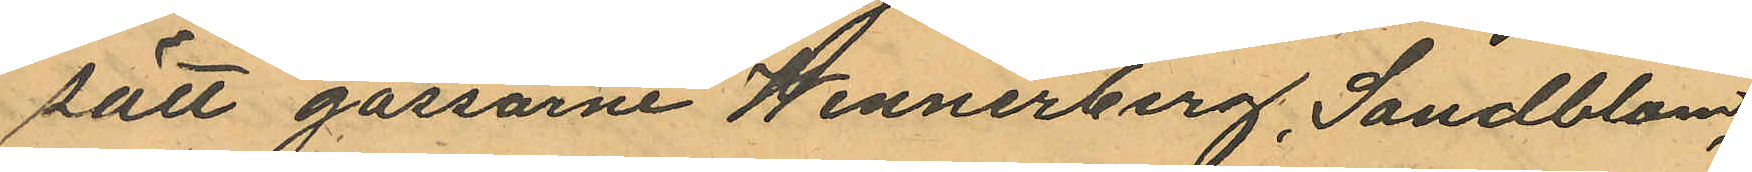sätt gossarne Wennerberg, Sandblom,
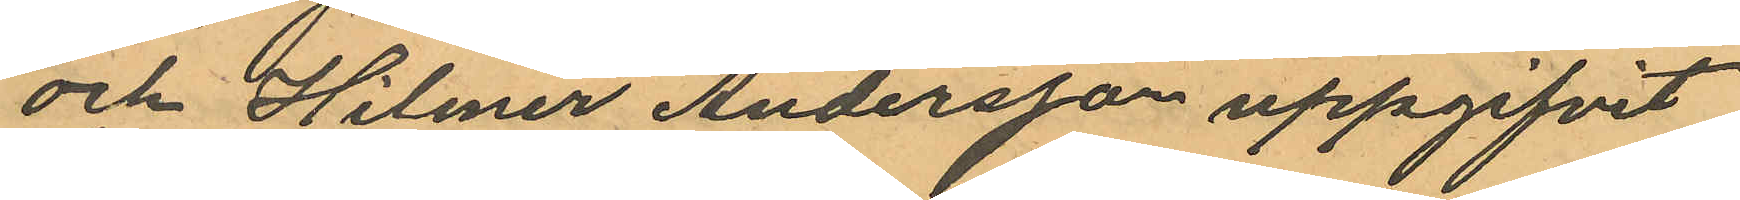och Hilmer Andersson uppgifvit
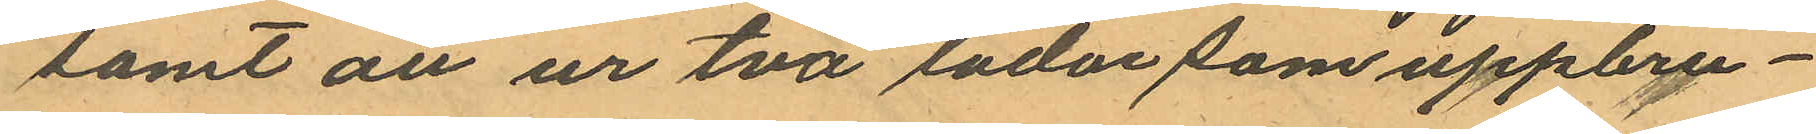samt att ur två lådor som uppbru¬
